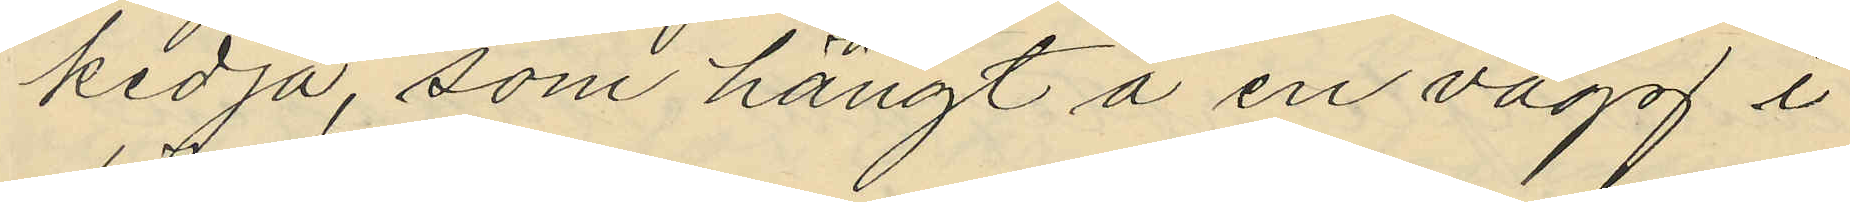kedja, som hängt å en vägg i
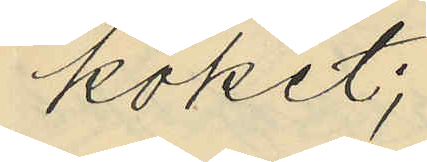köket;
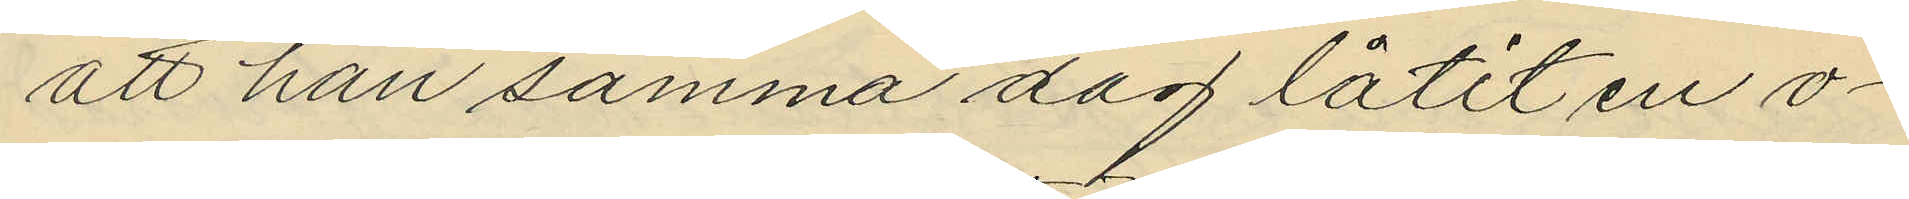att han samma dag låtit en o¬
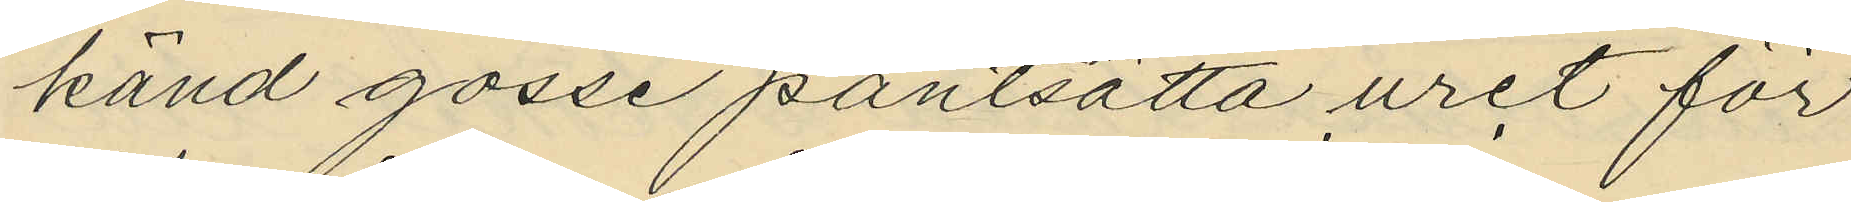känd gosse pantsätta uret för
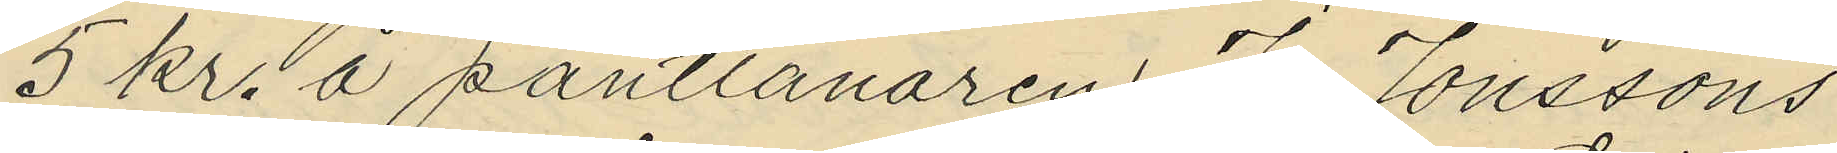5 kr. å pantlånaren Jonssons
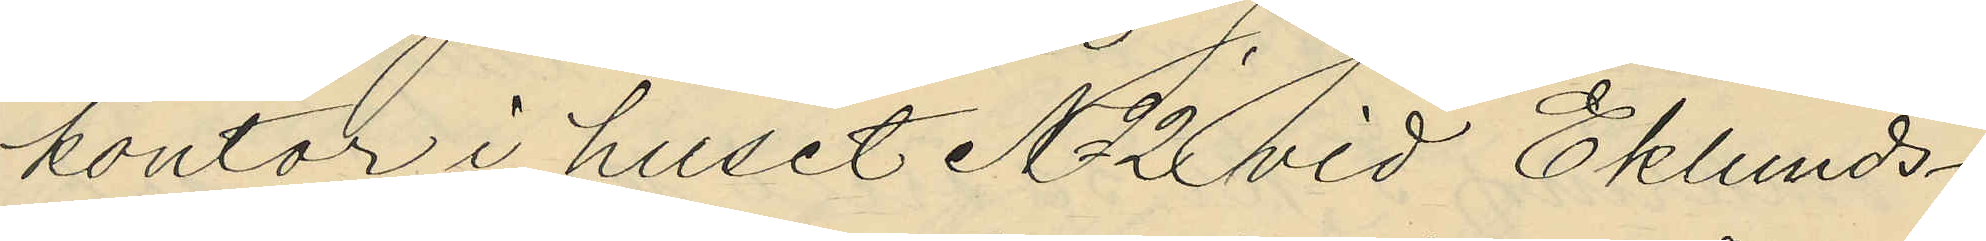kontor i huset No 2 vid Eklunds¬
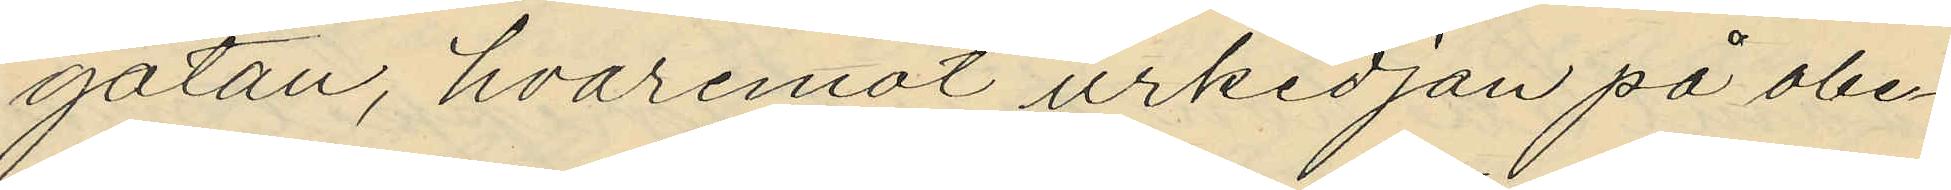gatan, hvaremot urkedjan på obe¬
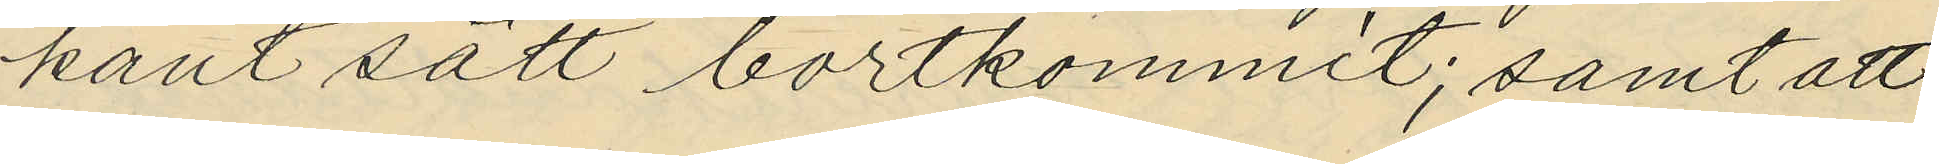kant sätt bortkommit; samt att
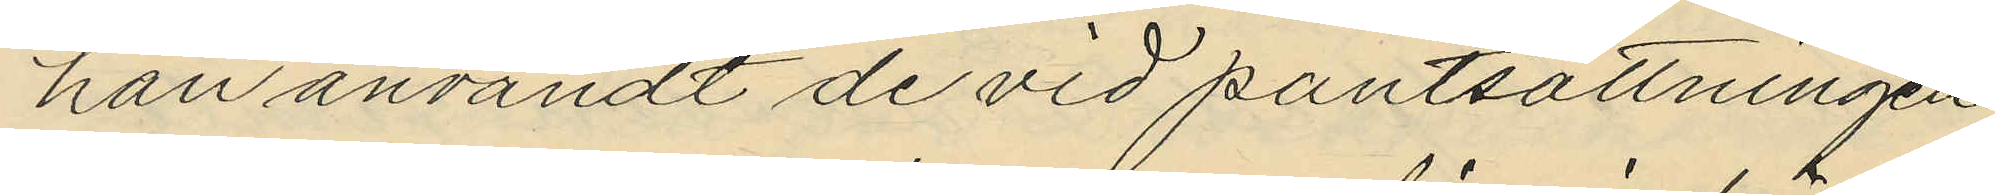han användt de vid pantsättningen
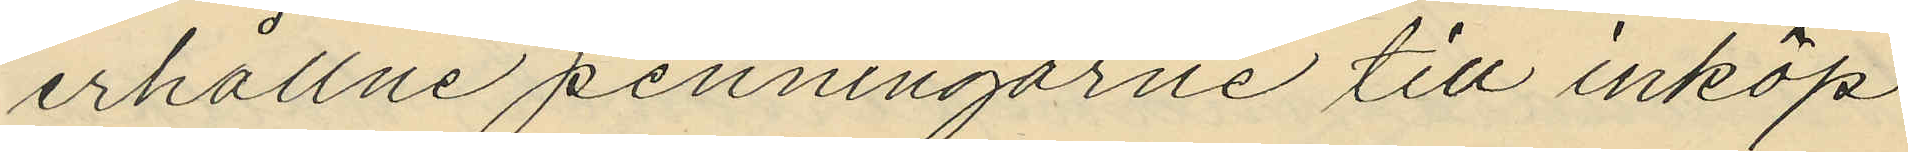erhållne penningarne till inköp
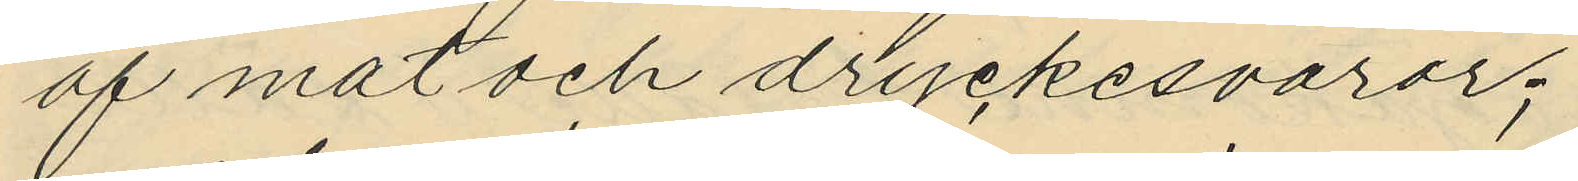af mat och dryckesvaror;
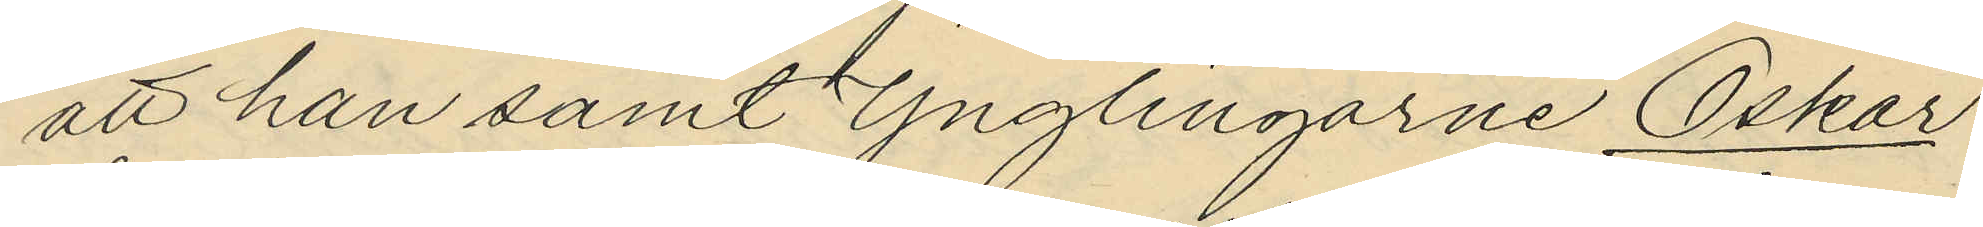att han samt Ynglingarne Oskar
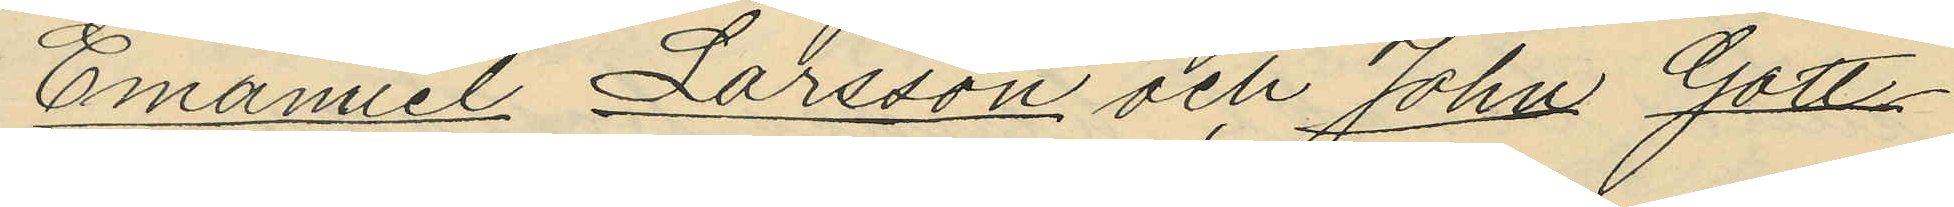Emanuel Larsson och John Gott¬
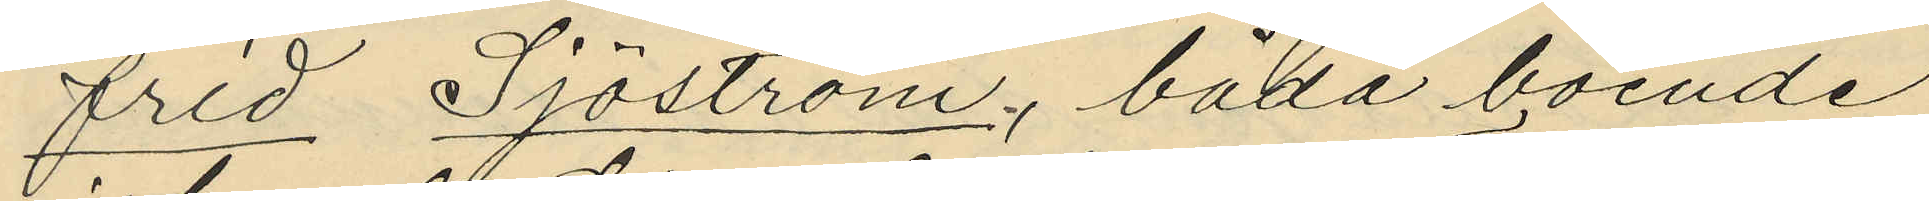frid Sjöström, båda boende
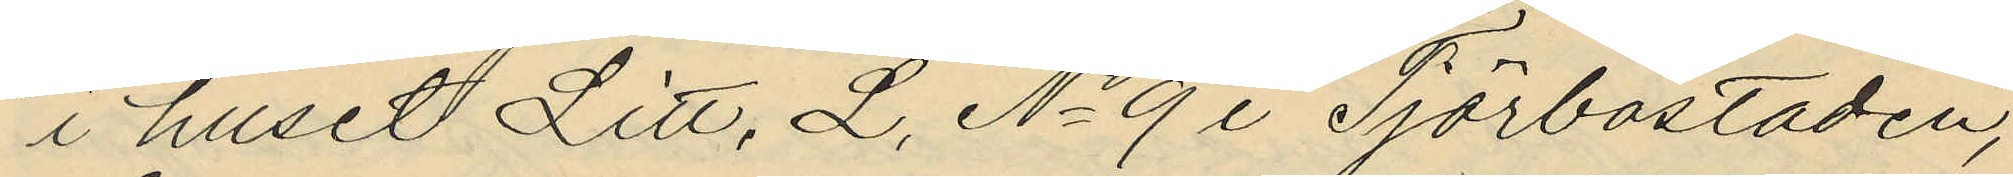i huset Litt. L. No 9 i Tjörbostaden,
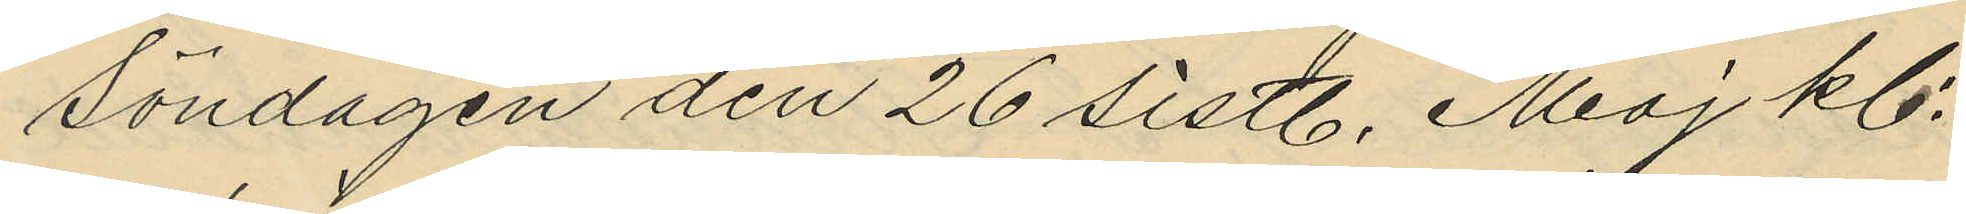Söndagen den 26 sistl. Maj kl.
